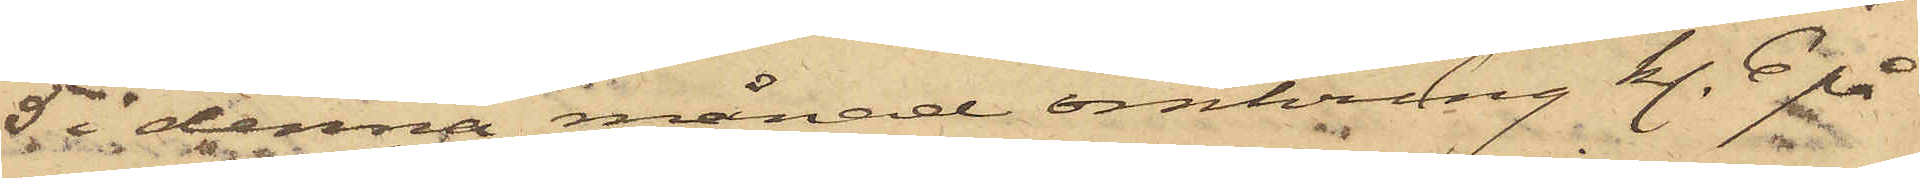5 i denna månad omkring kl. 6 på
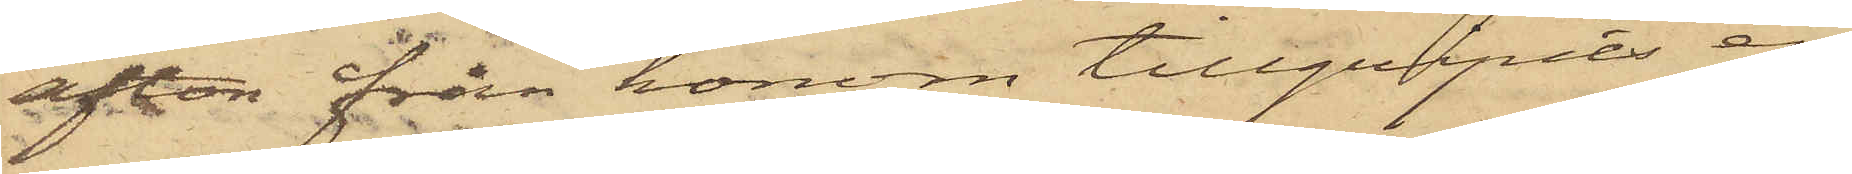afton från honom tillgripits en
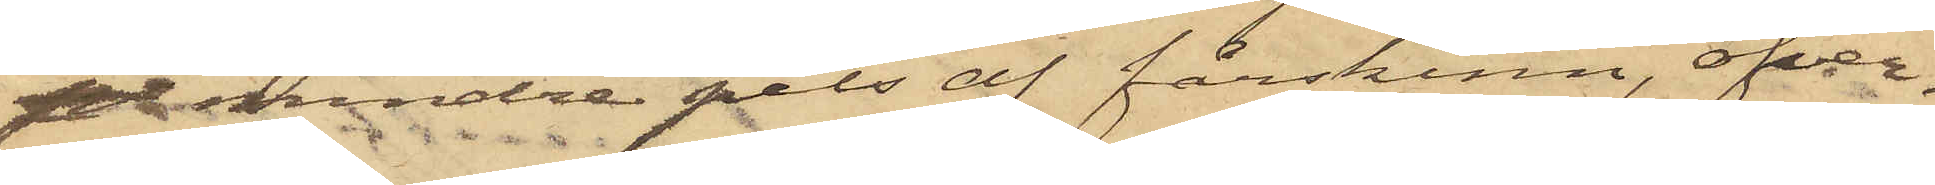pe mindre pels af fårskinn, öfver¬
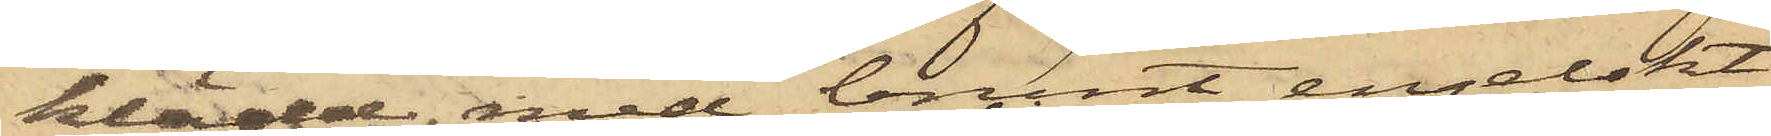klädd med brunt engelskt
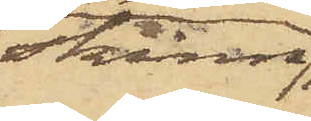skinn,
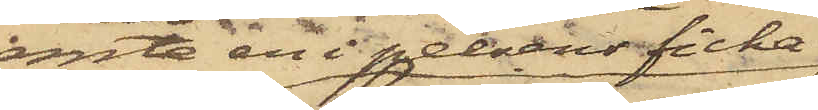jemte en i pelsens ficka
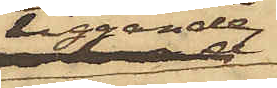liggande
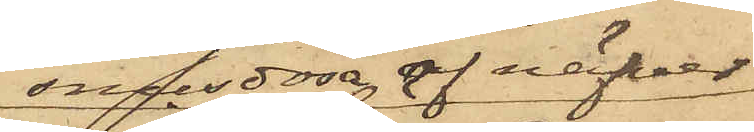snusdosa af näfver,
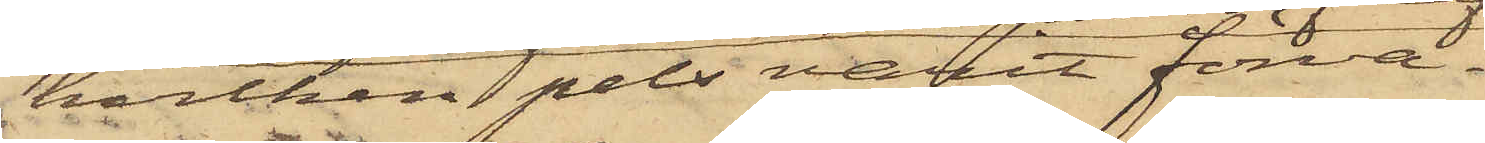hvilken pels varit förva¬
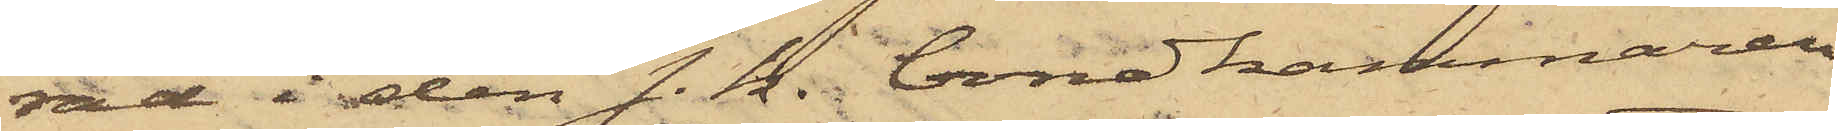rad i den s. k. bondkammaren
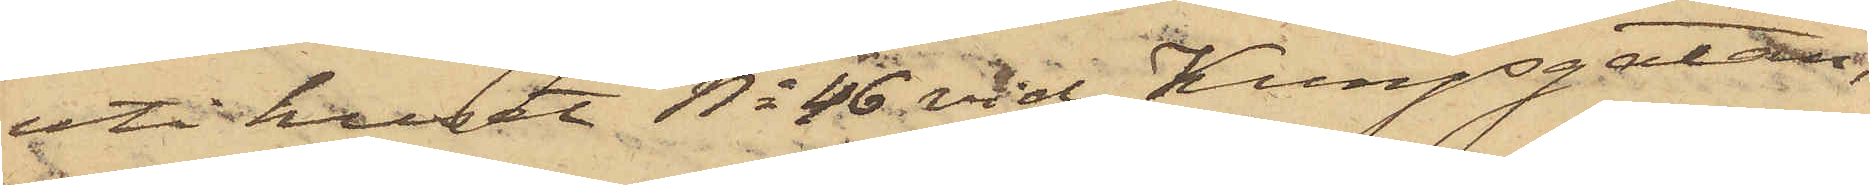uti huset No 46 vid Kungsgatan,
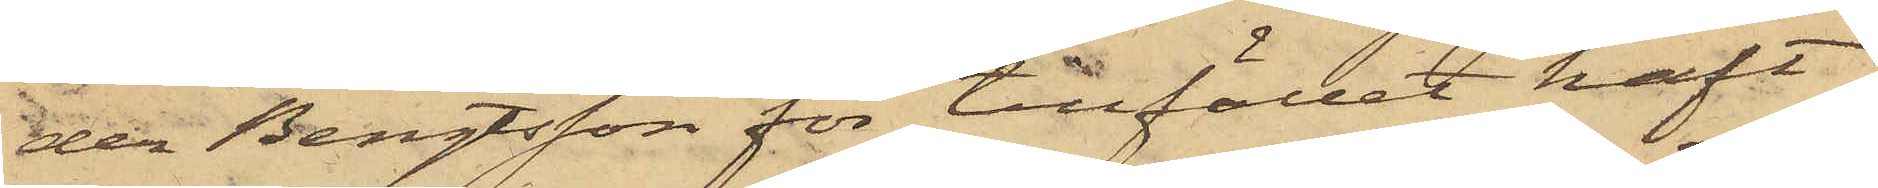der Bengtsson för tillfället haft
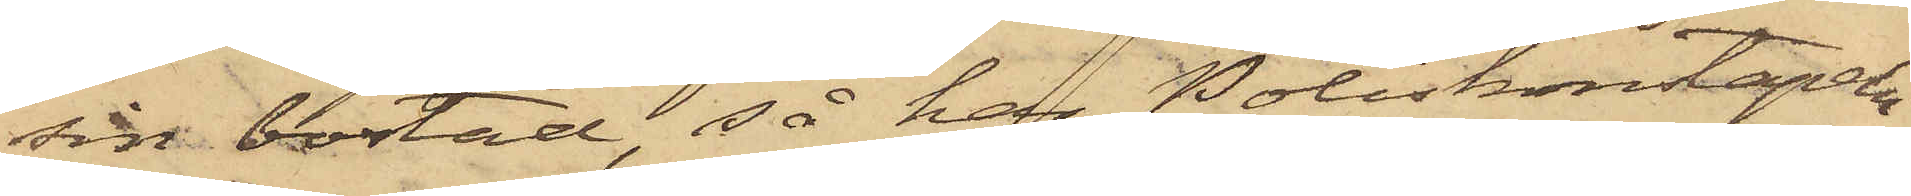sin bostad, så har Poliskonstapeln
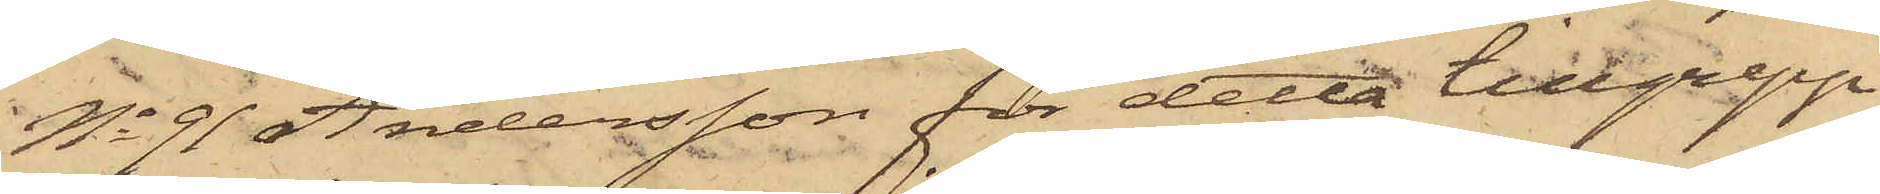No 91 Andersson för detta tillgrepp
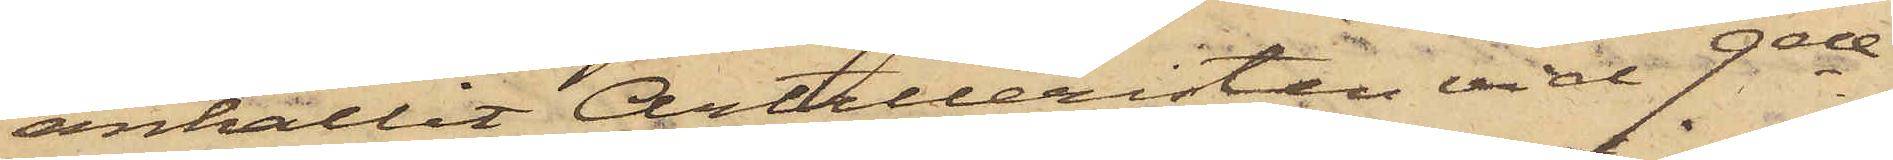anhållit Artilleristen vid 9de
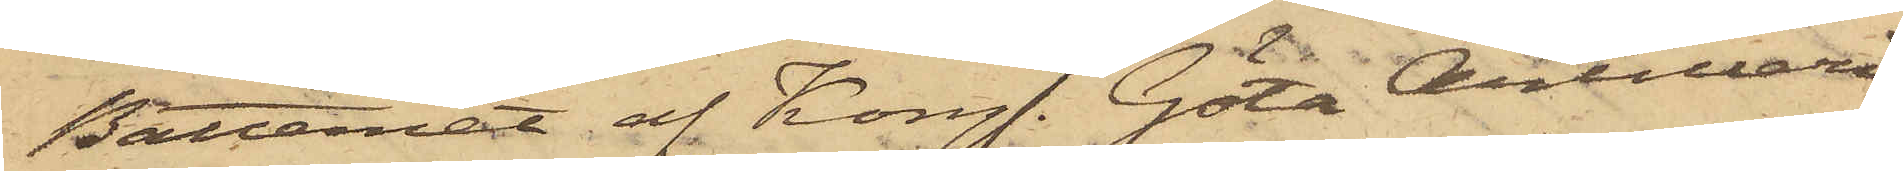Batteriet af Kongl. Göta Artilleri
